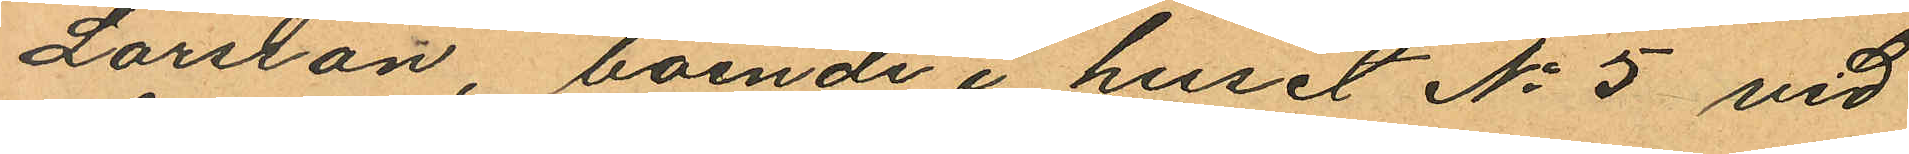Larsson, boende i huset No 5 vid
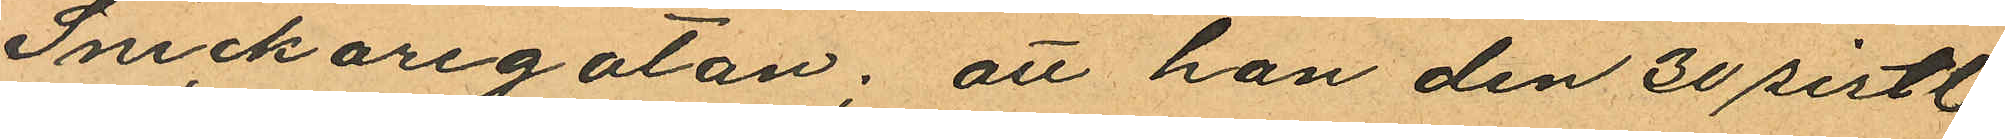Snickaregatan; att hon den 30 sistl.
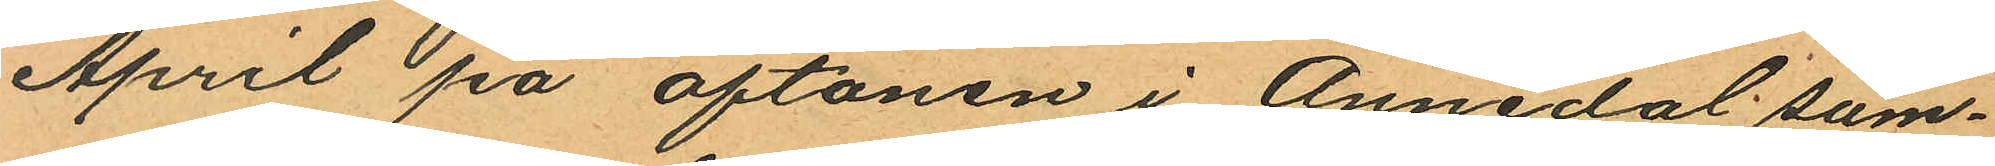April på aftonen i Annedal sam¬
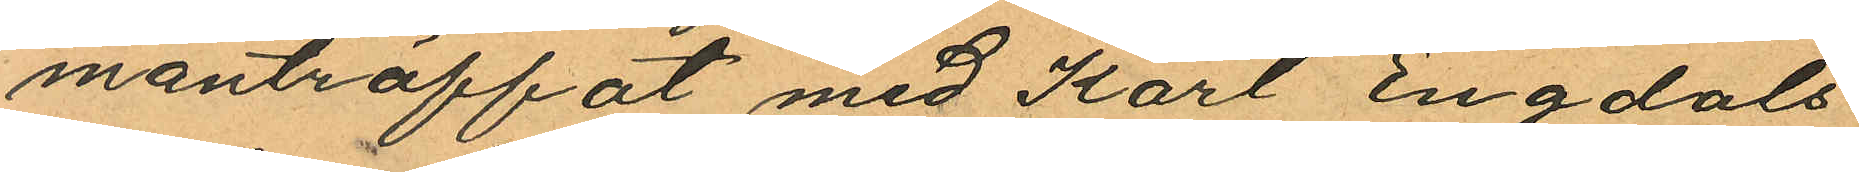manträffat med Karl Engdals
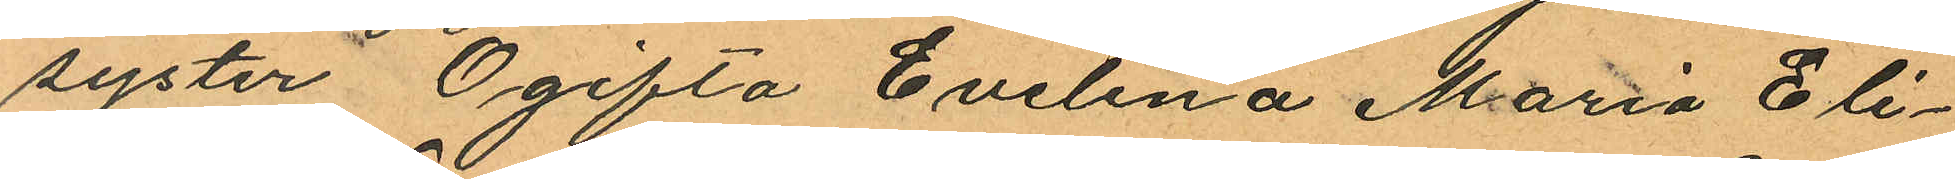syster Ogifta Evelina Maria Eli¬
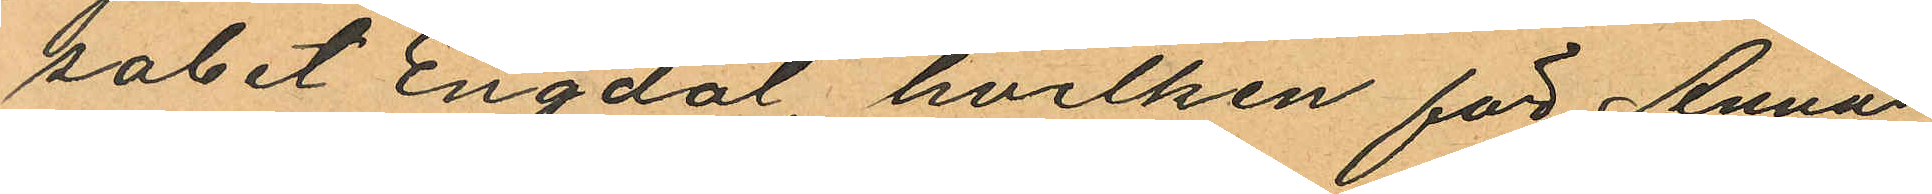sabet Engdal hvilken för Anna
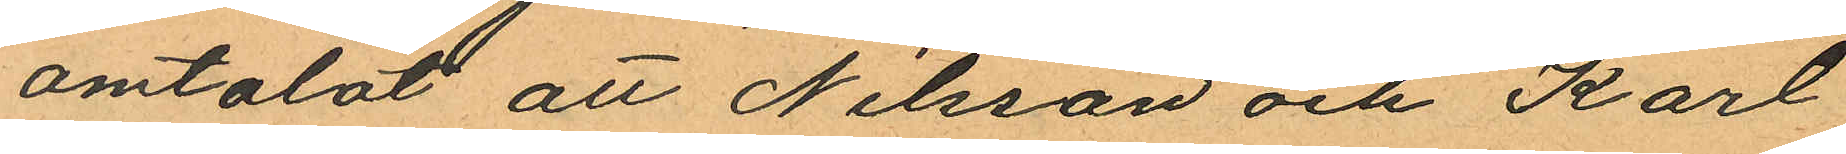omtalat att Nilsson och Karl
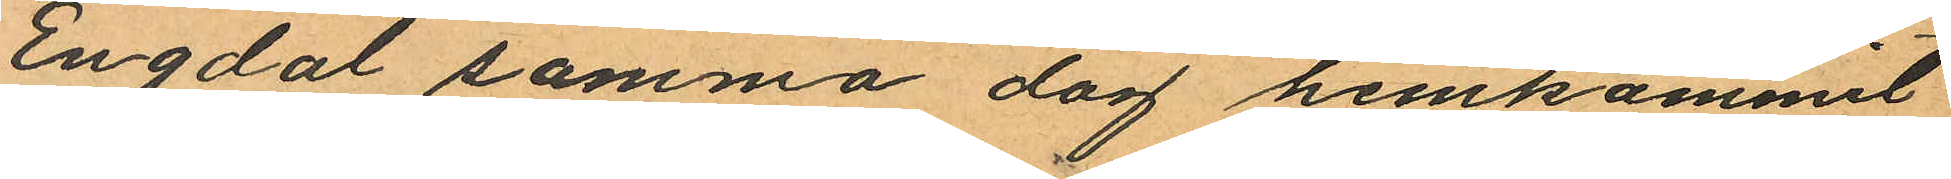Engdal samma dag hemkommit
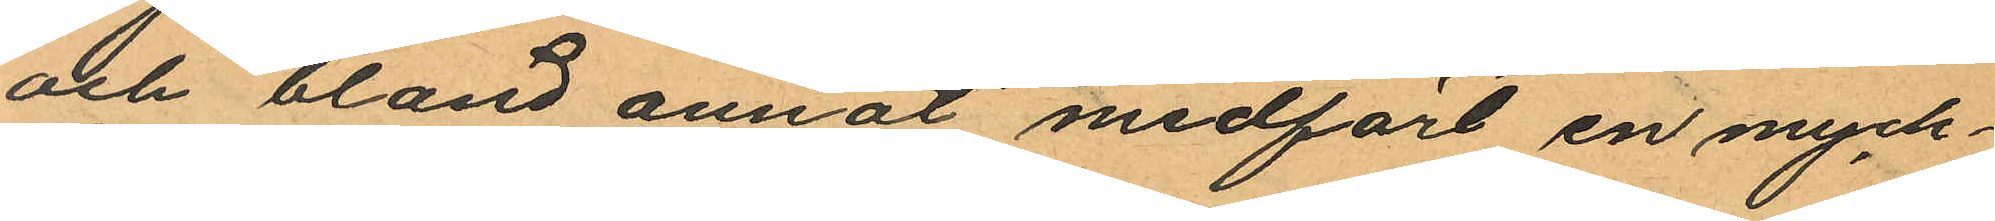och bland annat medfört en myck¬
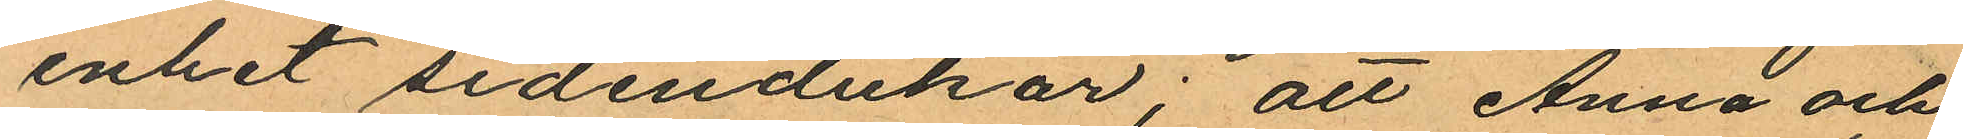enhet sidendukar; att Anna och
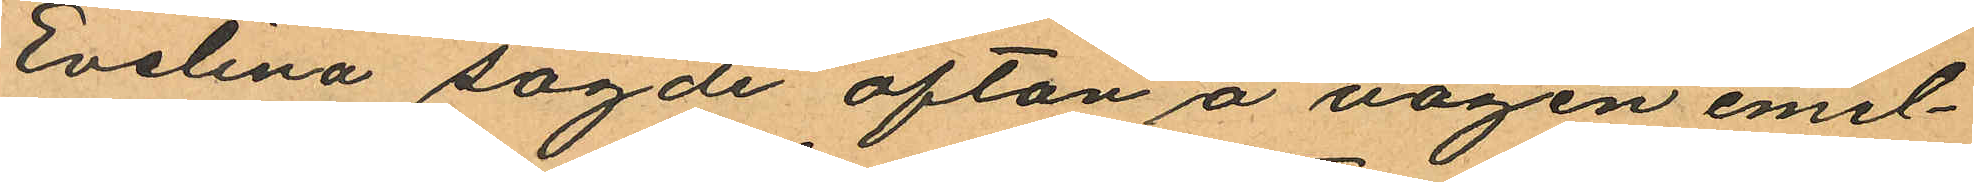Evelina sagde afton å vägen emel¬
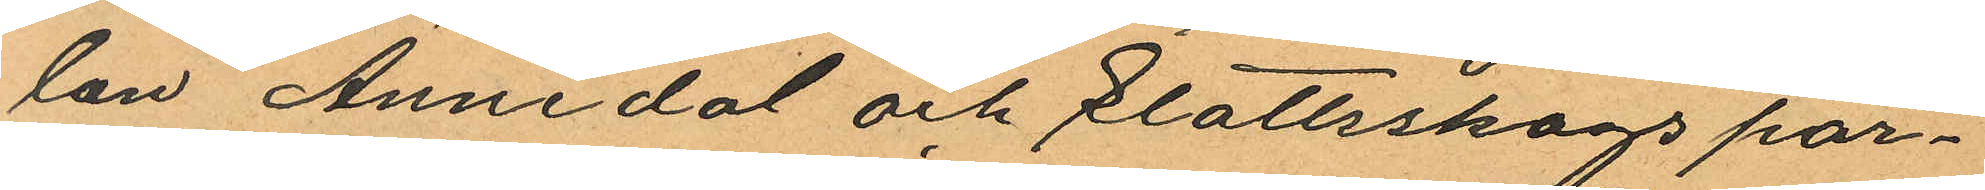lan Annedal och Slottsskogs par¬
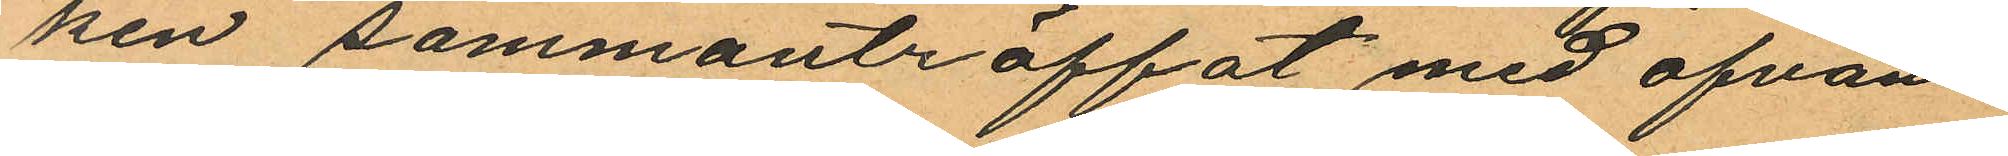ken sammanträffat med ofvan¬
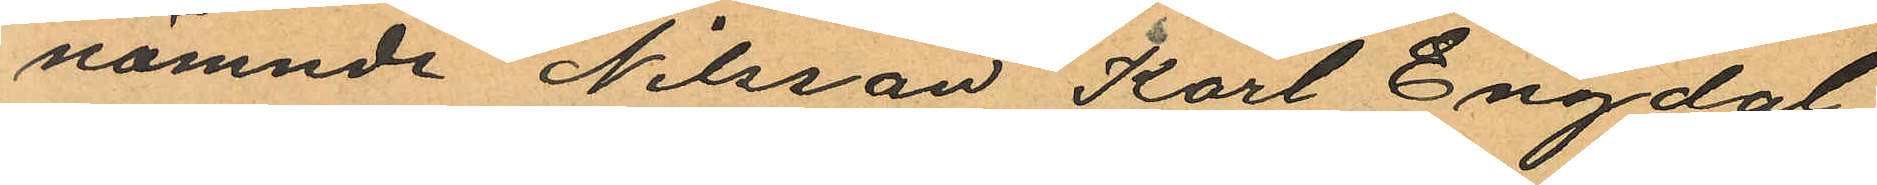nämnde Nilsson Karl Engdal
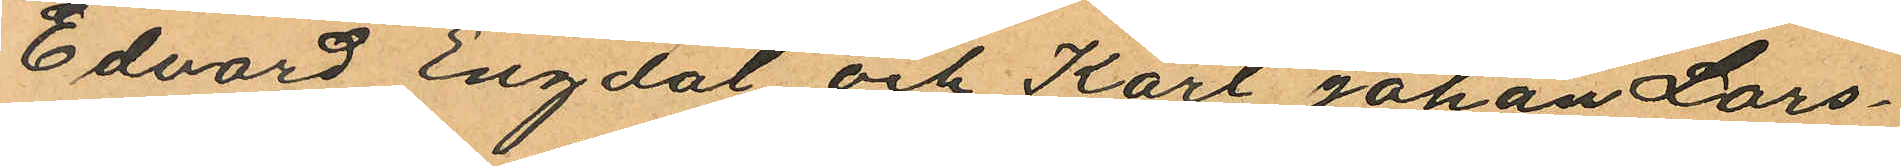Edvard Engdal och Karl Johan Lars¬
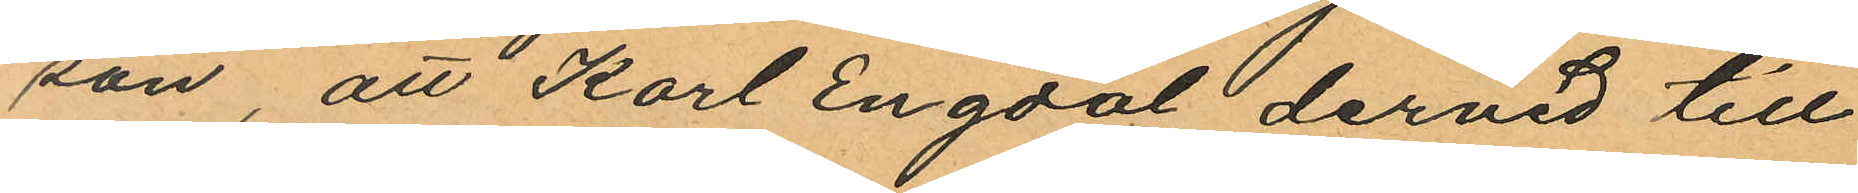son, att Karl Engdal dervid till
